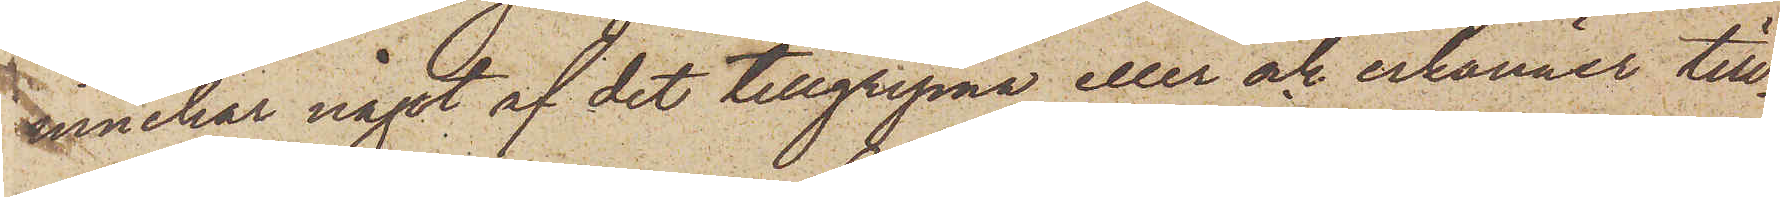innehar något af det tillgripna eller ock erkänner till¬
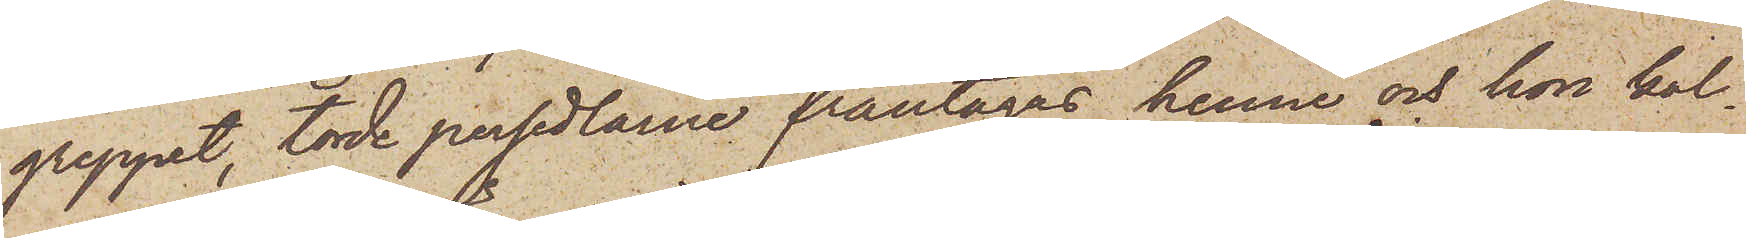greppet, torde persedlarne fråntagas henne och hon kal¬
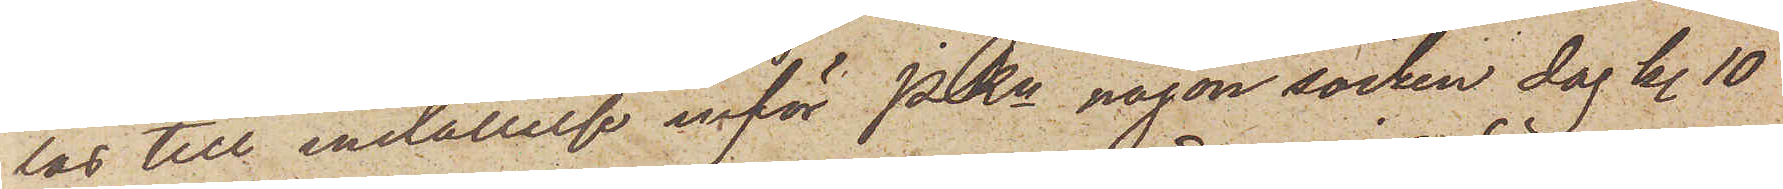las till inställelse inför PKn någon söcken dag kl. 10
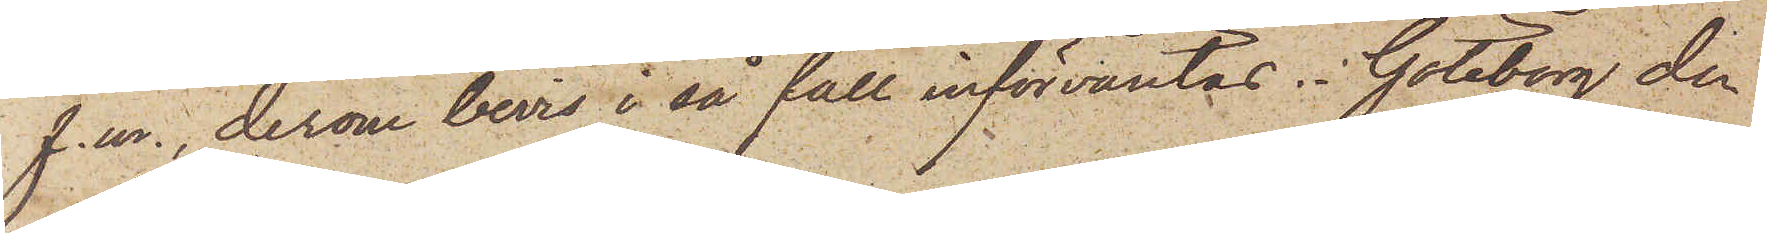f. m., derom bevis i så fall införväntas. Göteborg den
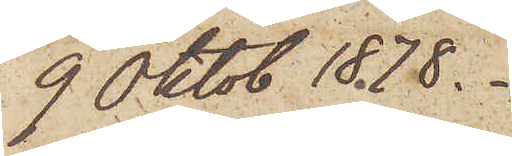9 Oktob 1878.
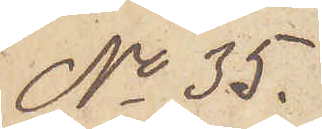No 35.
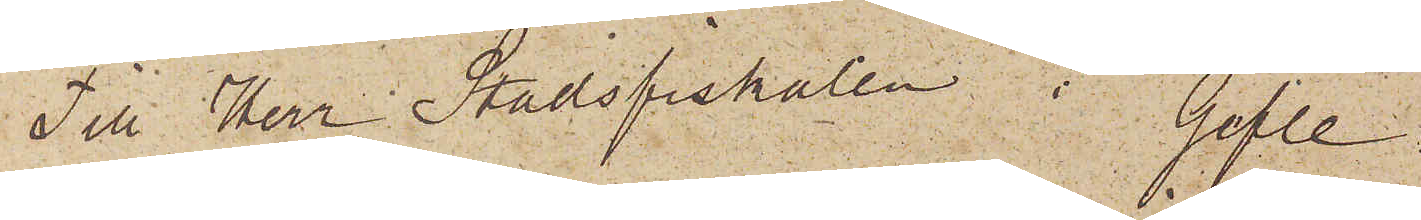Till Herr Stadsfiskalen i Gefle
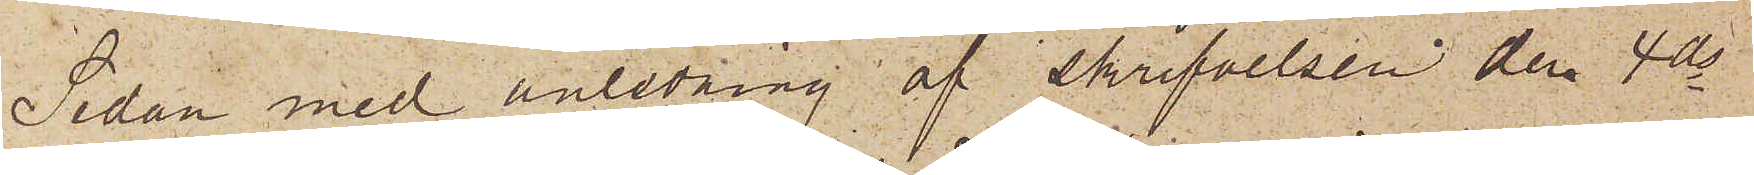Sedan med anledning af skrifvelsen den 4 ds
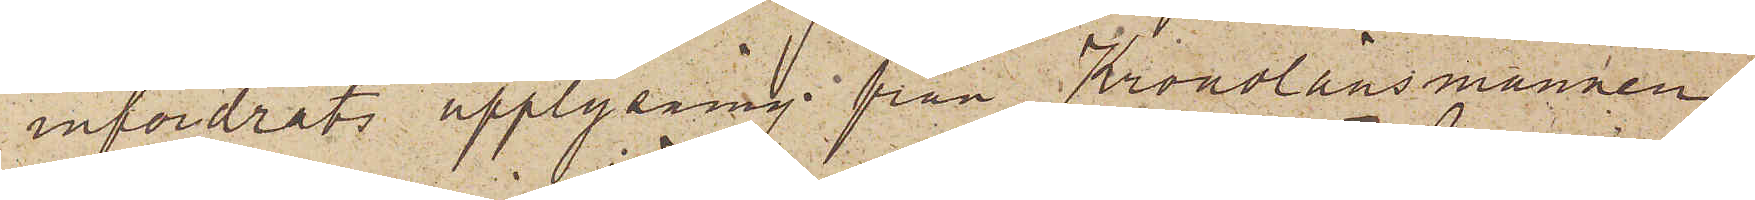infordrats upplysning från Kronolänsmannen
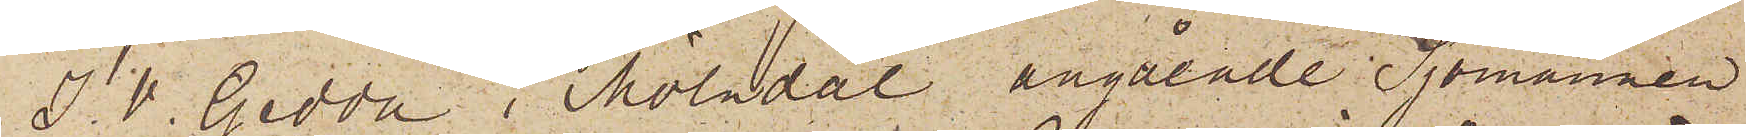J. V. Gedda i Mölndal angående Sjömannen
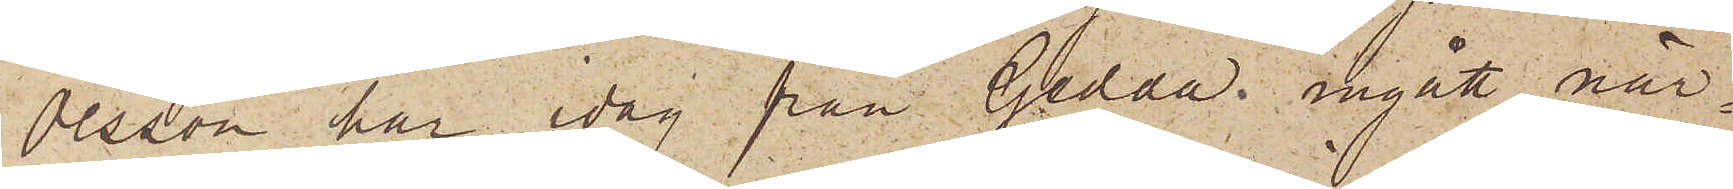Olsson har idag från Gedda ingått när¬
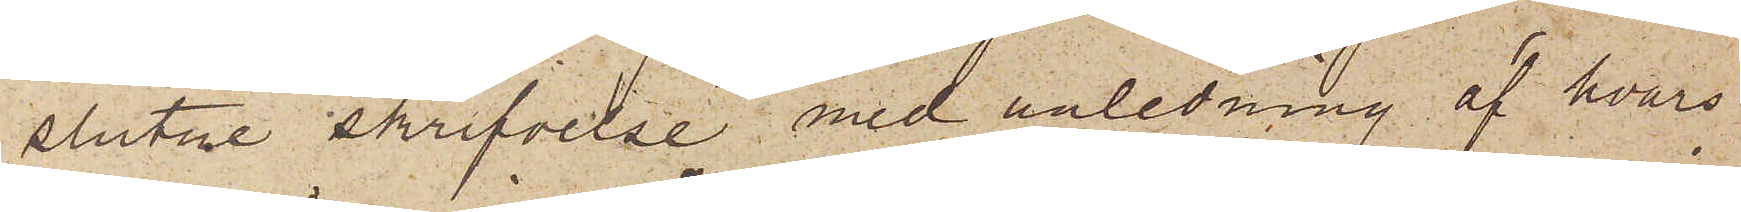slutne skrifvelse med anledning af hvars
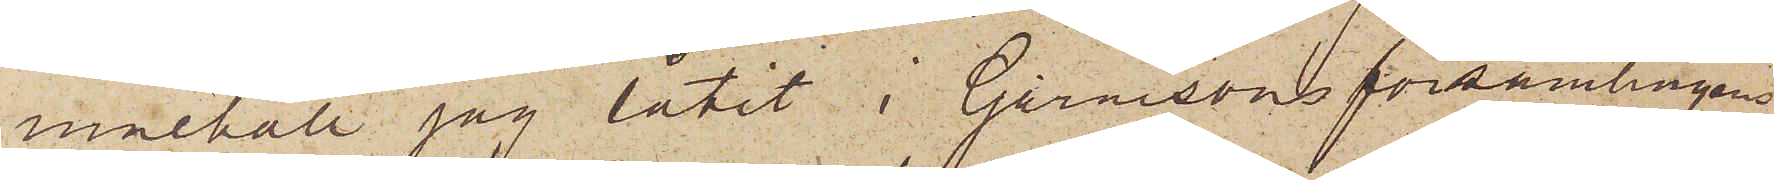innehåll jag låtit i Garnisonsförsamlingens
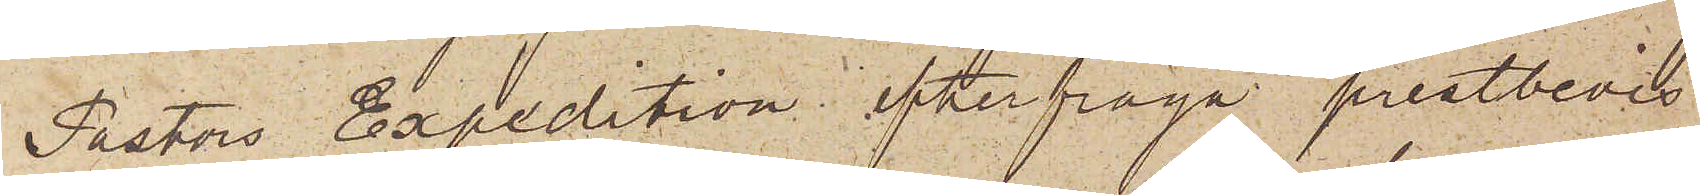Pastors Expedition efterfråga prestbevis
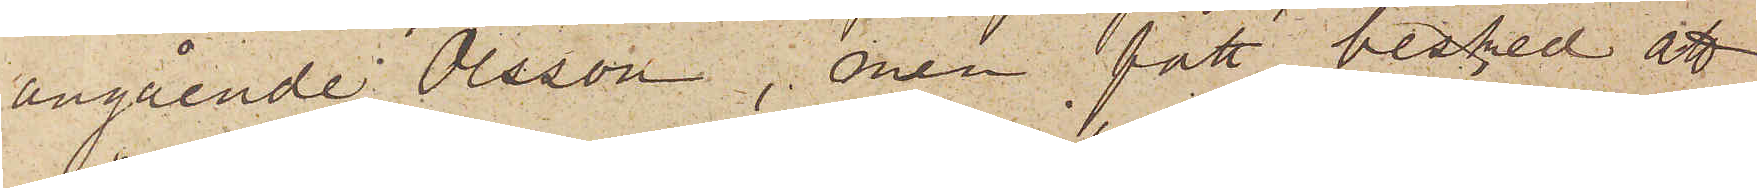angående Olsson, men fått besked att
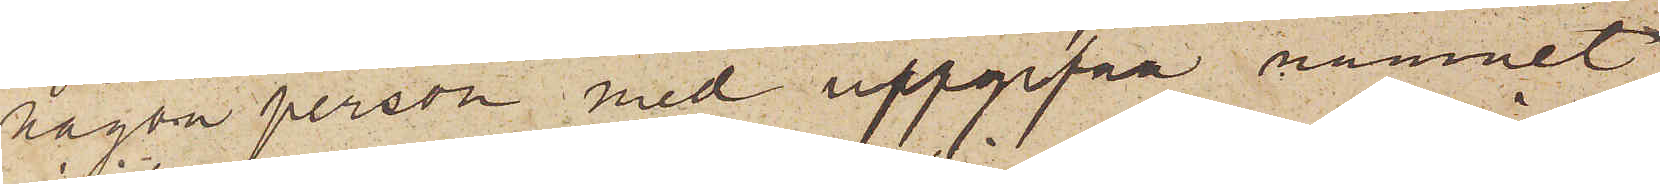någon person med uppgifna namnet
